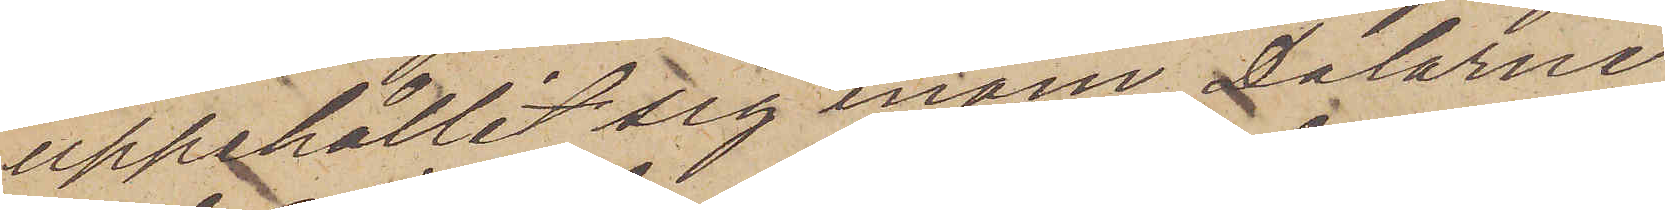uppehållit sig inom Dalarne
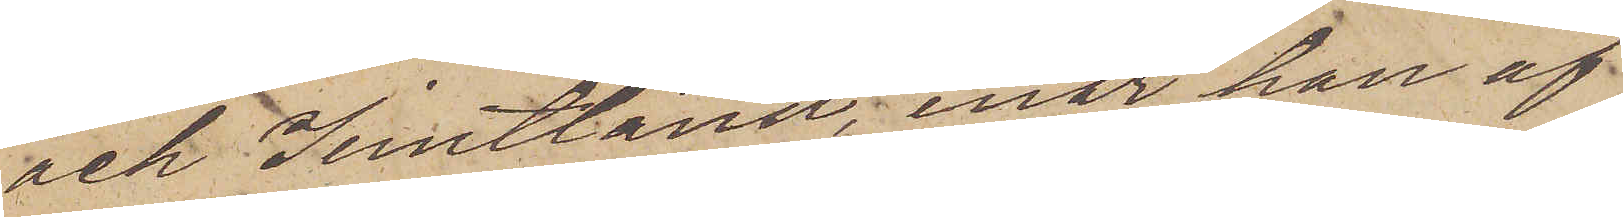och Jerntland, enär han af
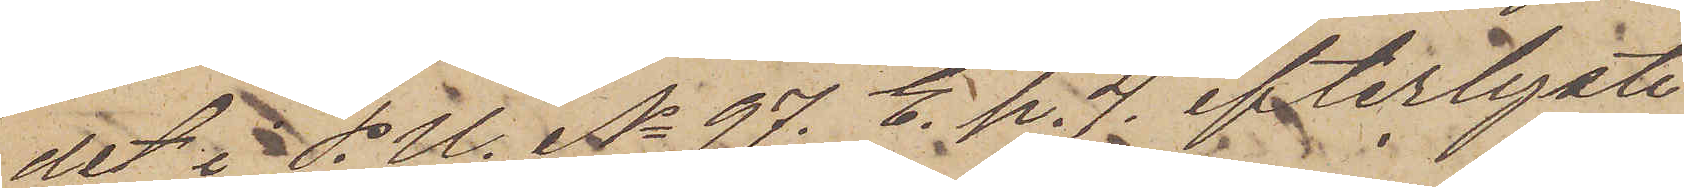det i P. U. No 97. E. p. 4 efterlyste
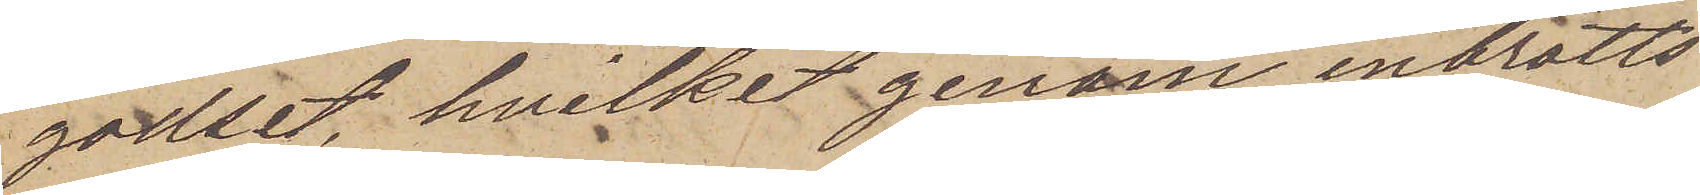godset, hvilket genom inbrotts¬
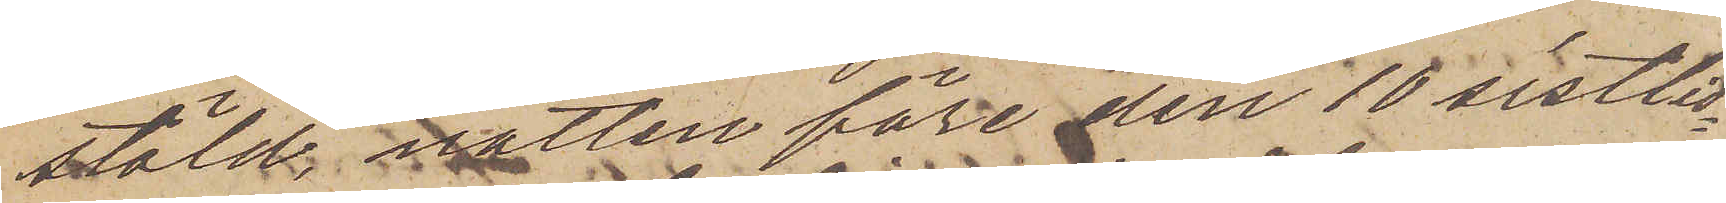stöld natten före den 10 sistlid¬
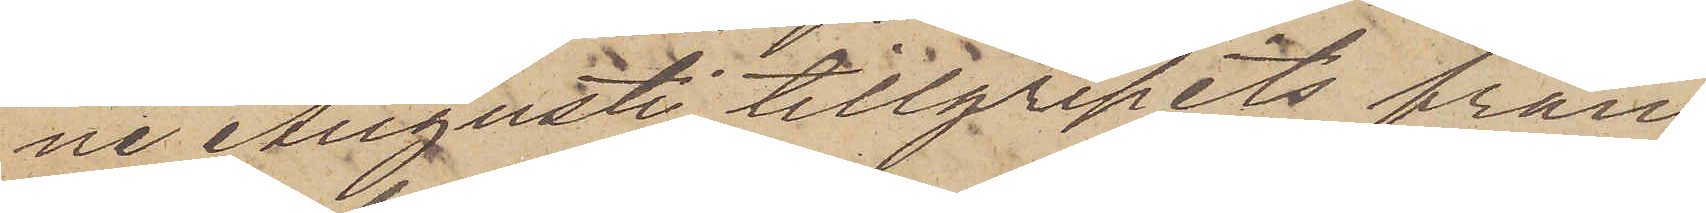ne Augusti tillgripits från
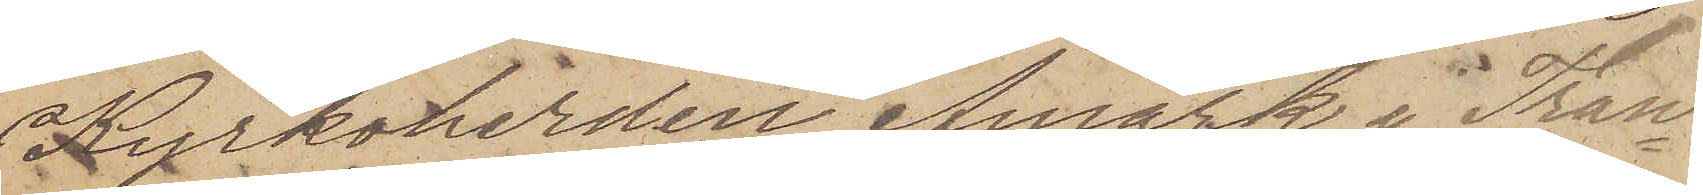Kyrkoherden Åmark i Tran¬
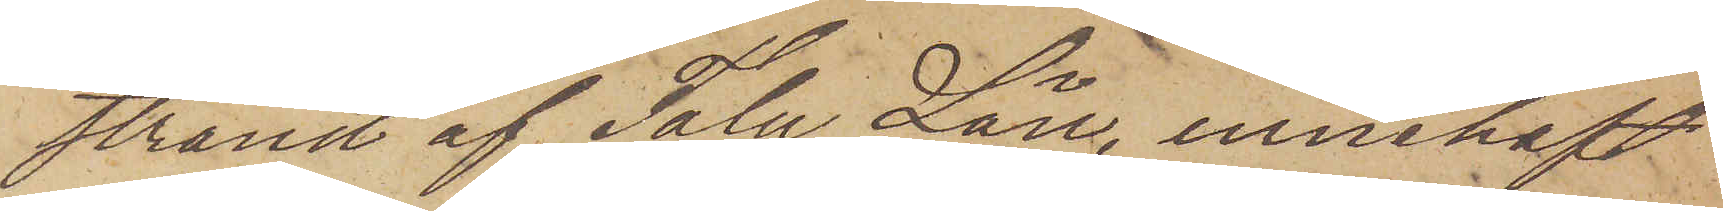strand af Falu Län, innehaft
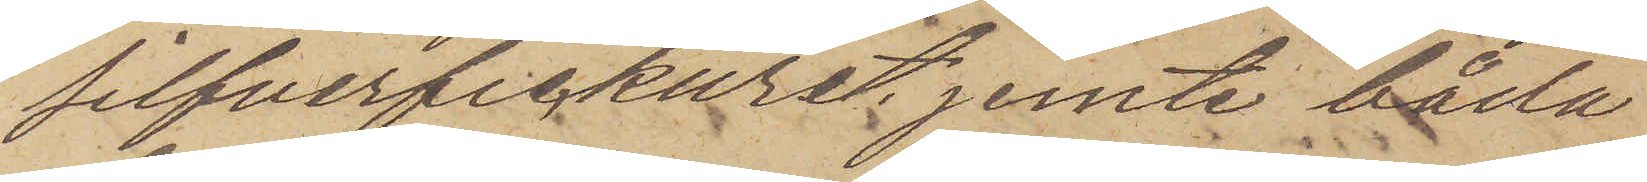silfverfickuret jemte båda
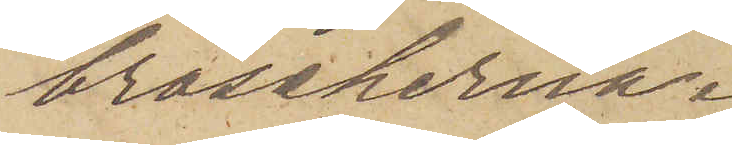broscherna.
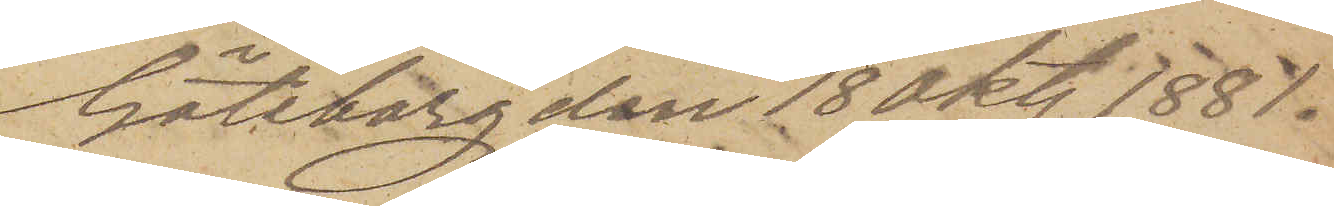Göteborg den 18 Okt. 1881.
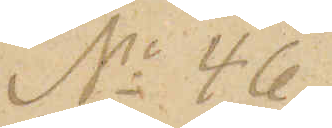No 46
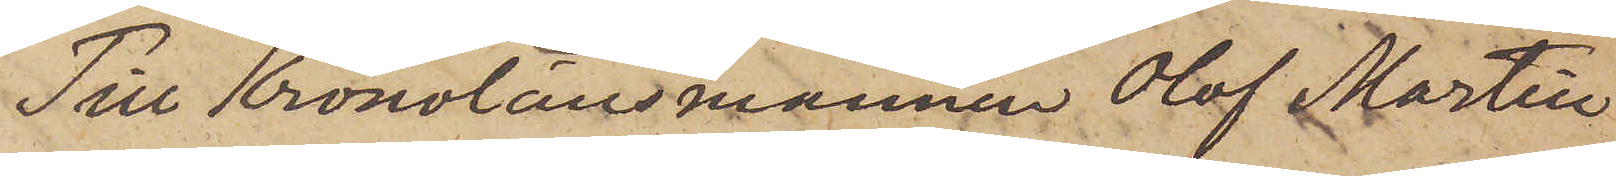Till Kronolänsmannen Olof Martin
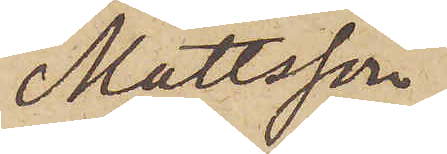Mattsson
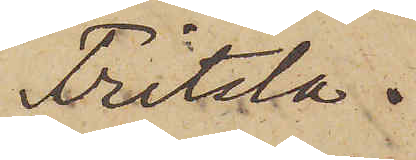Fritsla.
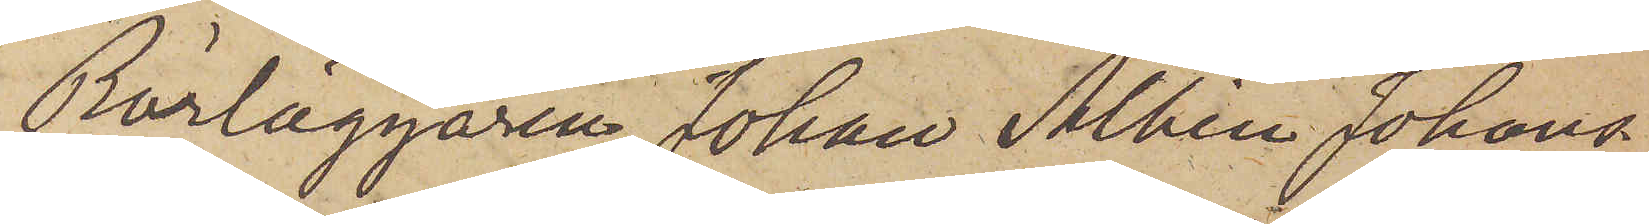Rörläggaren Johan Albin Johans¬
